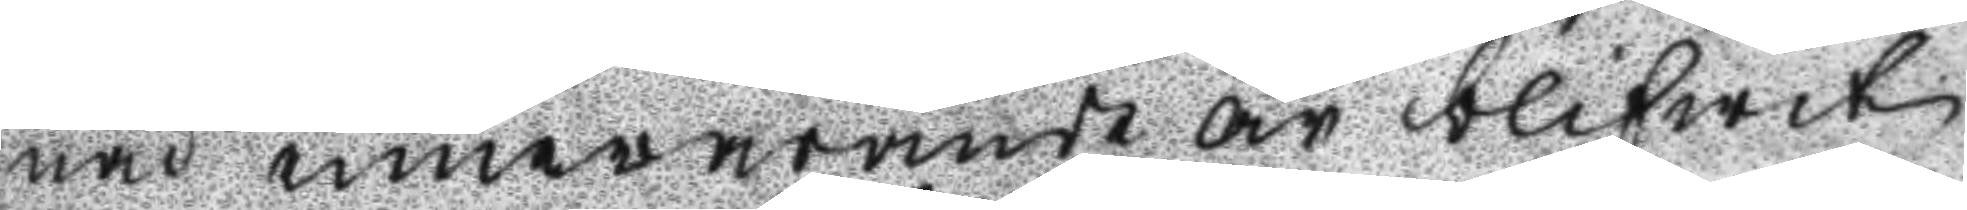nad innewarande år blifwit
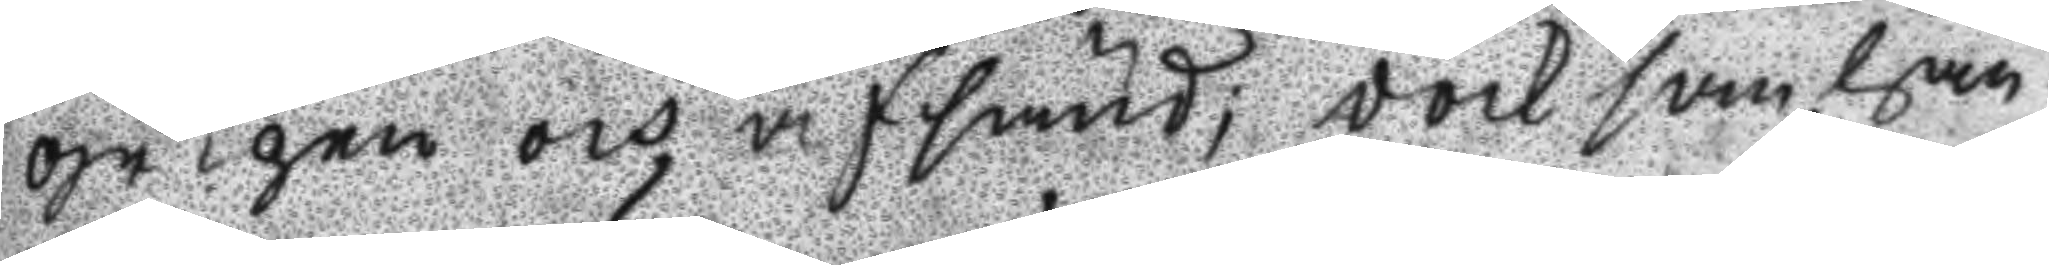gripen och afsänd; dock som han
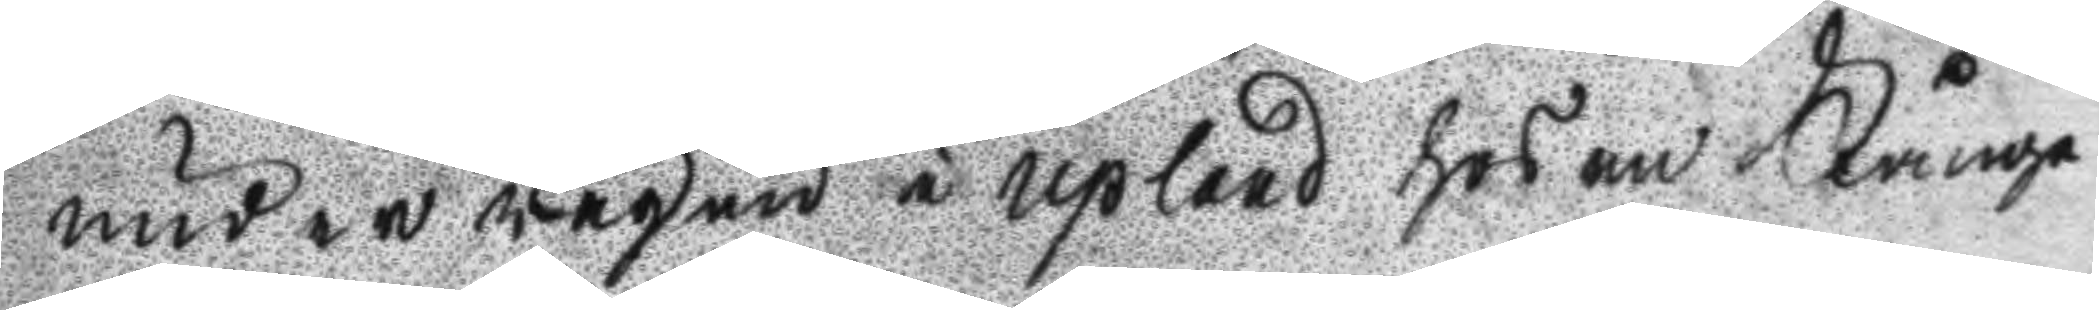under wägen i Upland hos en Fånge
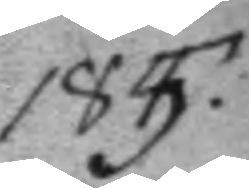185.
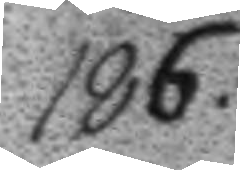186.
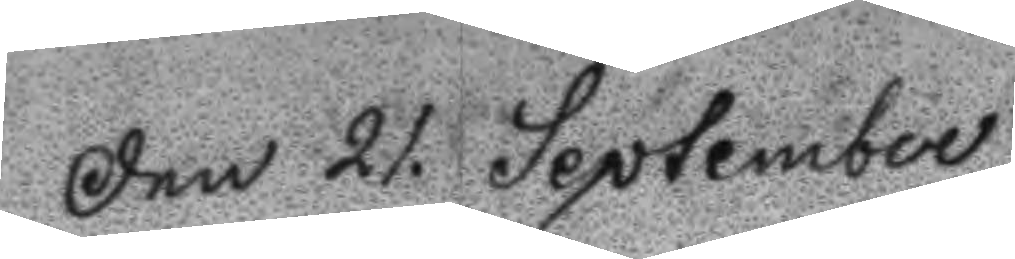Den 21. September
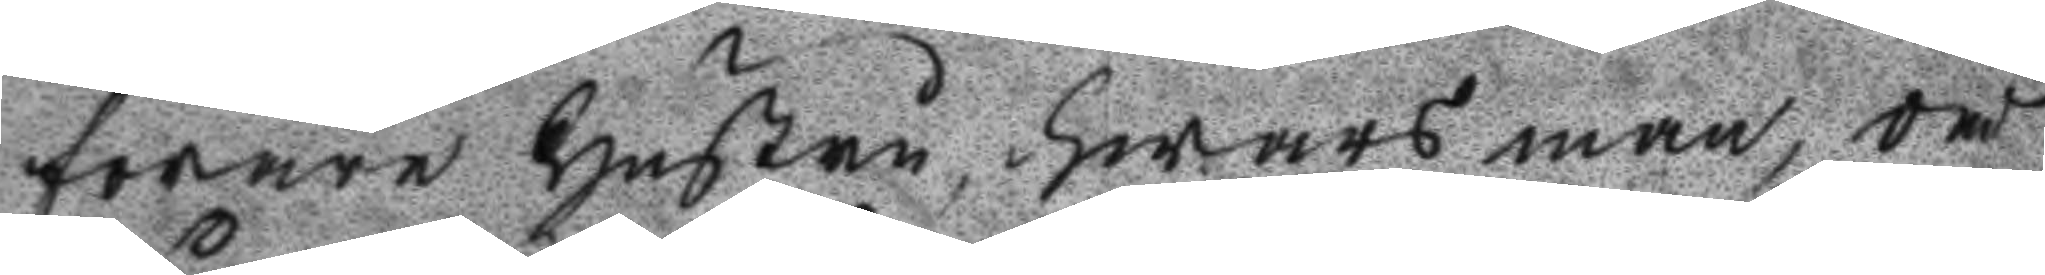förare Hustru, hwars man, då
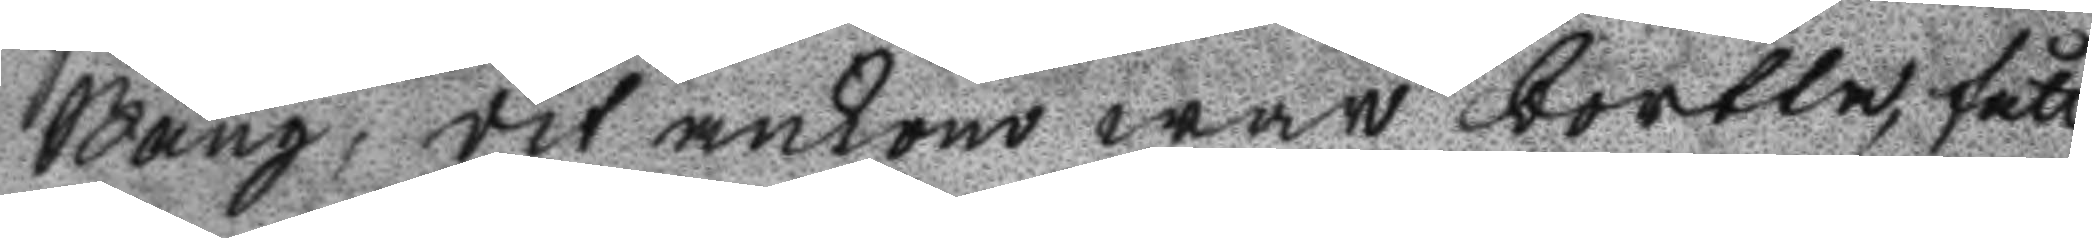Bång, dit ankom war bortta, fått
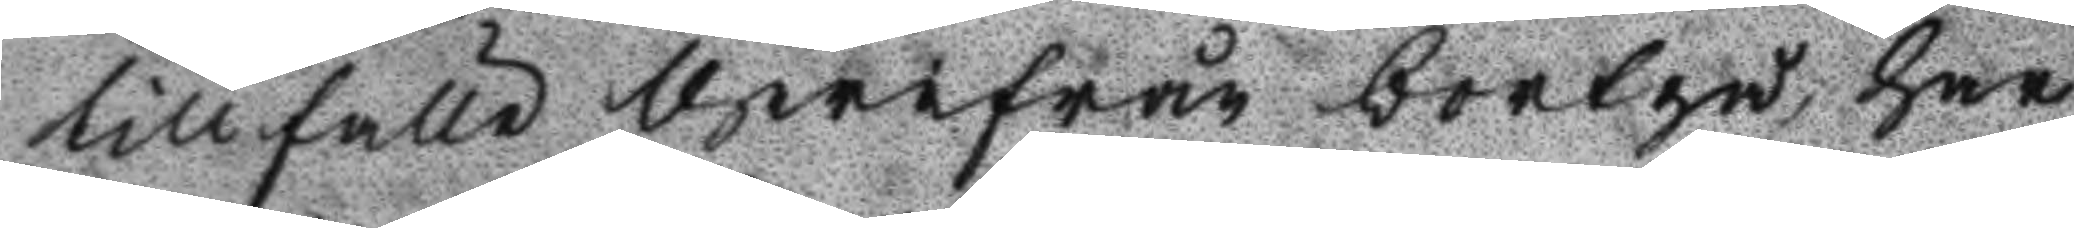tillfälle therifrån bortgå, har
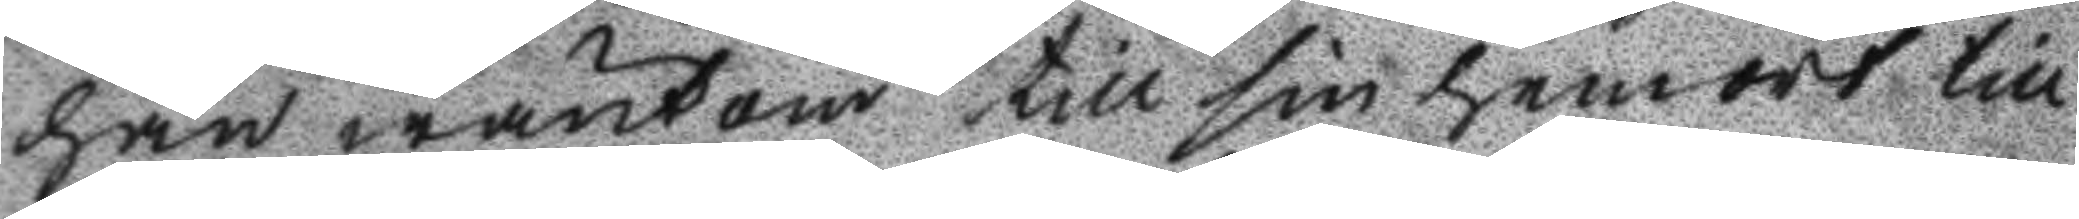han wänt om till sin hemort till
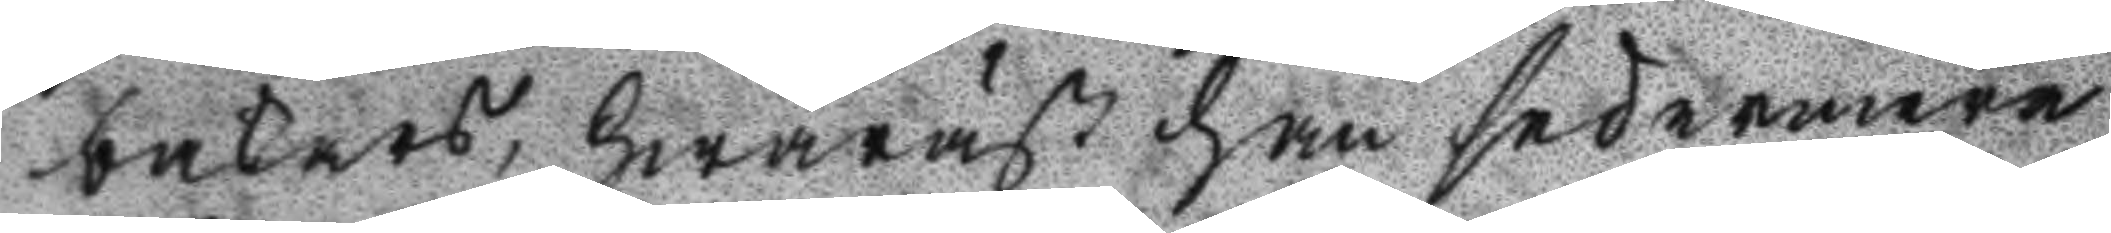bakars, hwaräst han sedermera
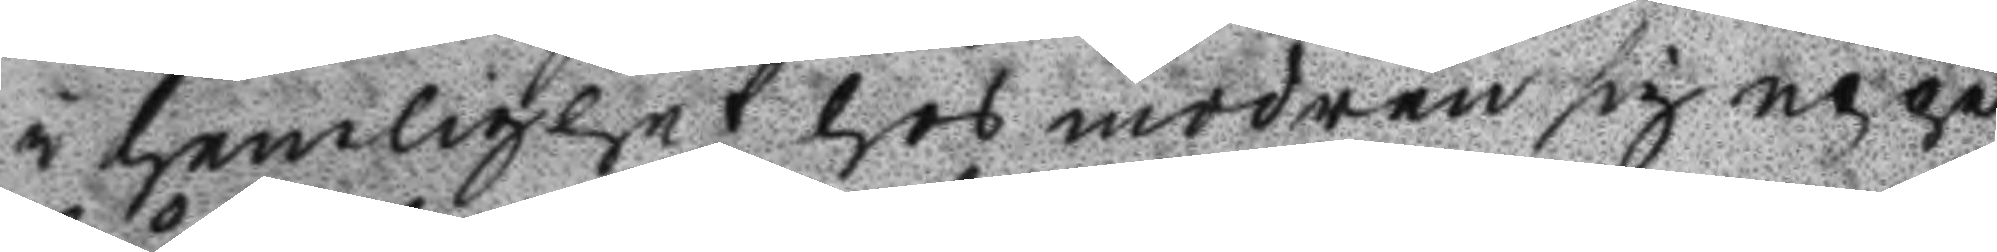i hemlighet hos modren sig uppe
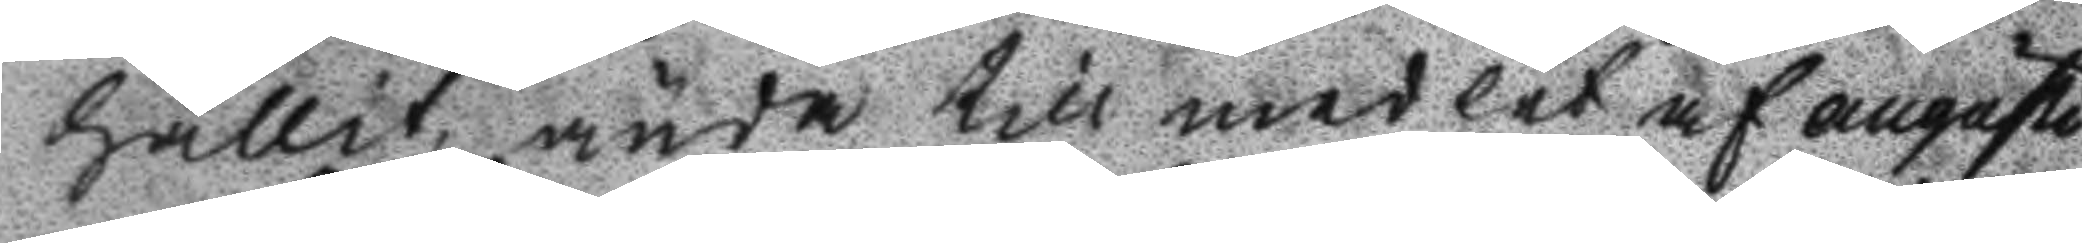hållit, ända till medlet af augusti
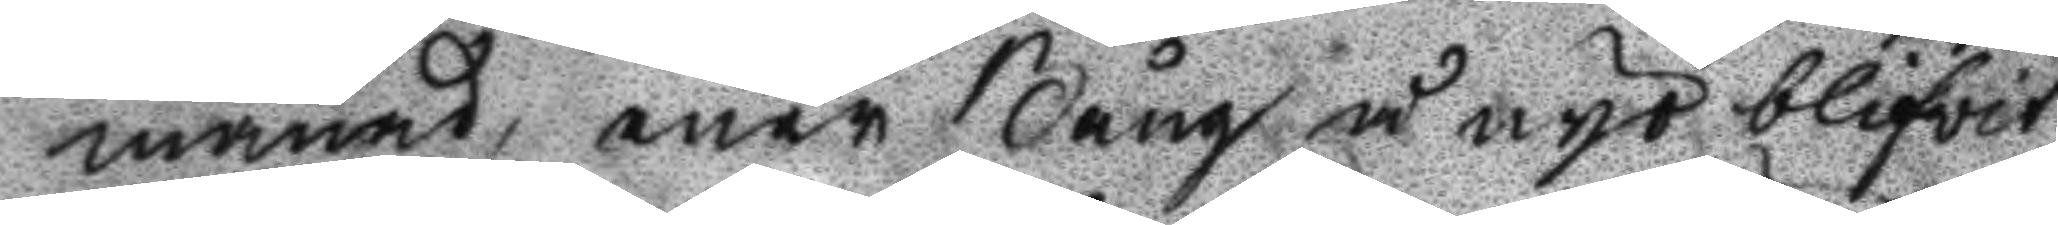månad, enär Bång å nyo blifvit
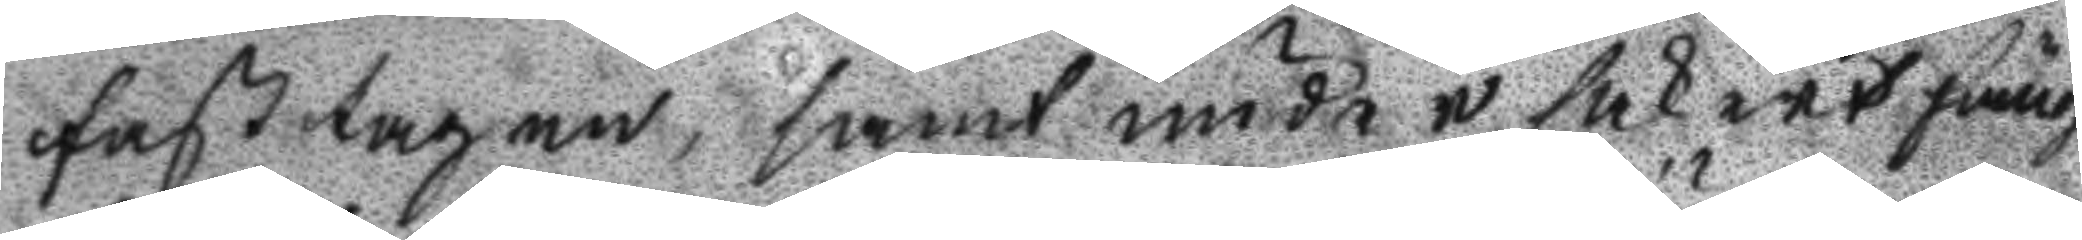fasttagen, samt under säkert fäng
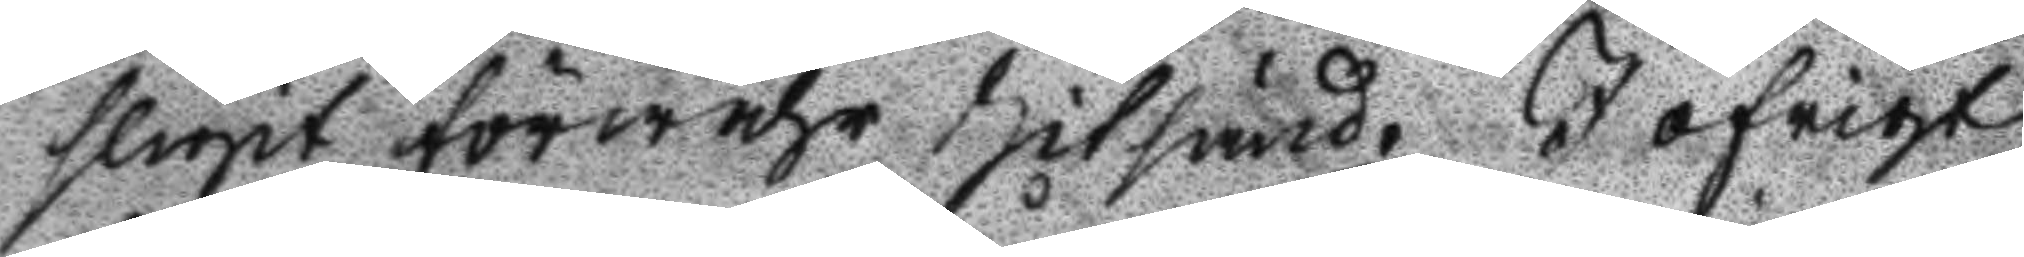sligit förwahr hitsänd. I öfrigt
